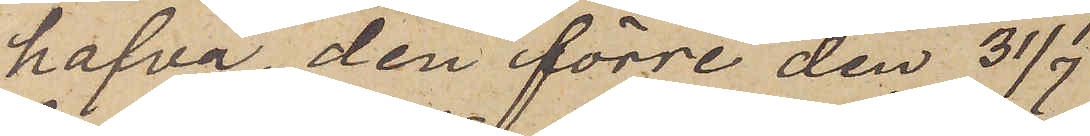hafva, den förre den 31/7
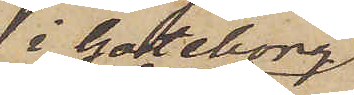i Göteborg
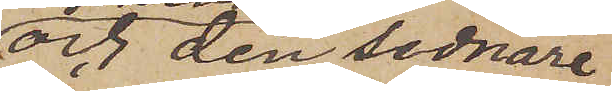och den sednare
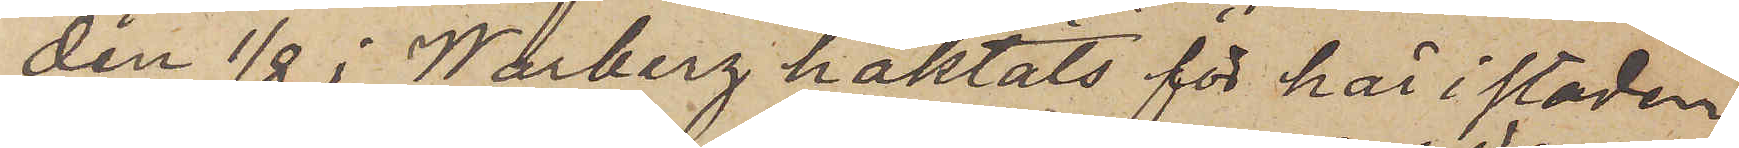den 1/8 i Warberg häktats för här i staden
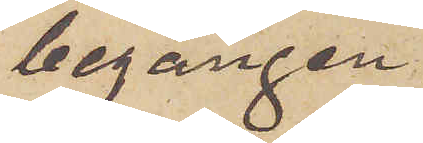begången
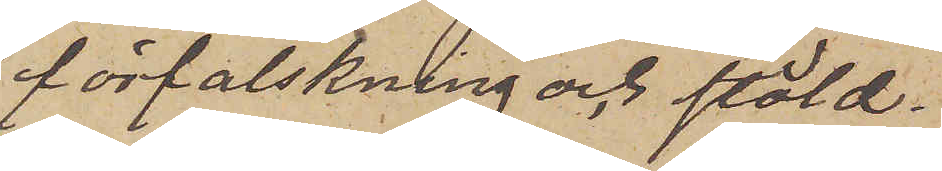förfalskning och stöld.
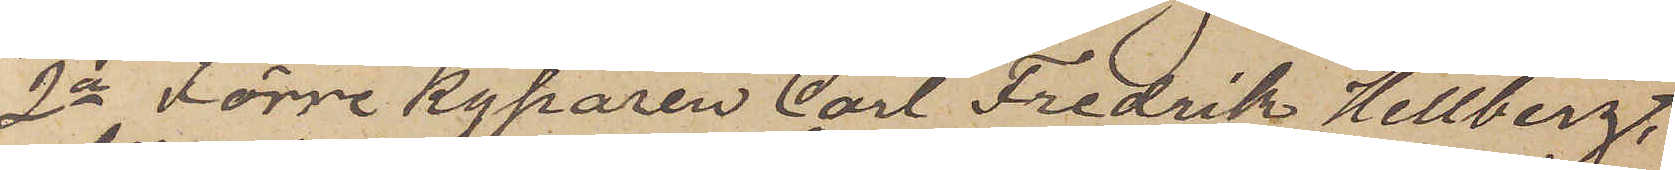2o Förre kyparen Carl Fredrik Hellberg,
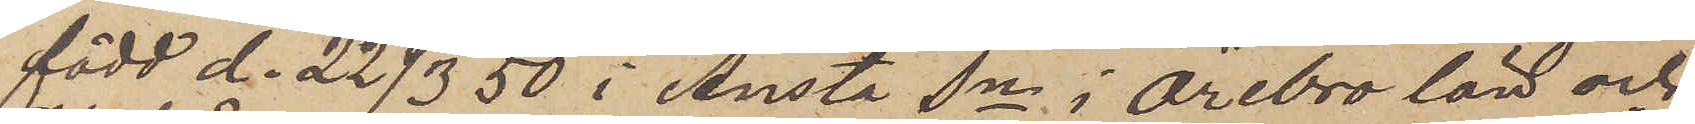född d. 22/3  50 i Ånsta Sn i Örebro län och
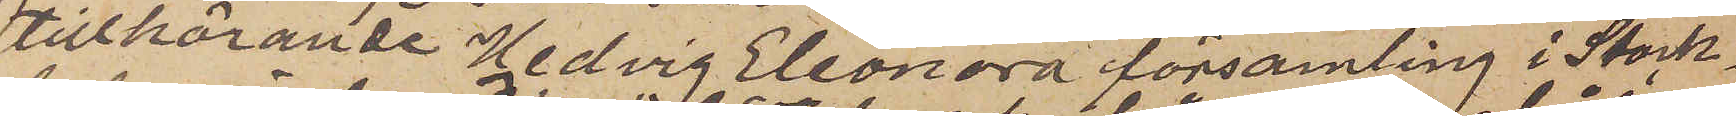tillhörande Hedvig Eleonora församling i Stock¬
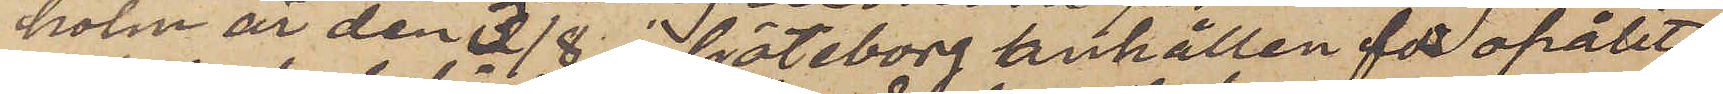holm är den 3/8 i Göteborg anhållen för opålit¬
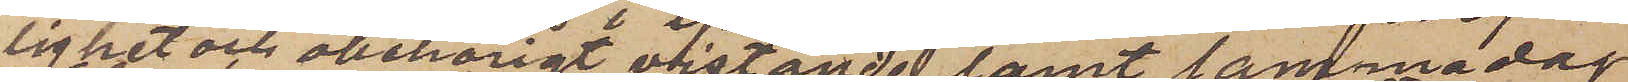lighet och obehörigt vistande samt samma dag
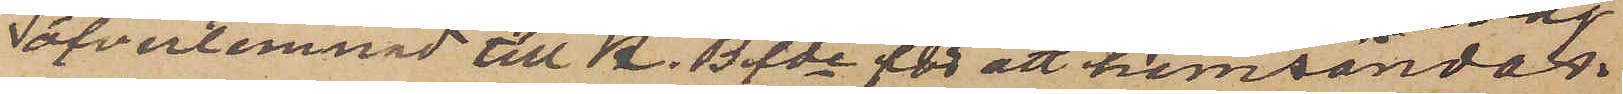öfverlemnad till K. Bfde för att hemsändas.
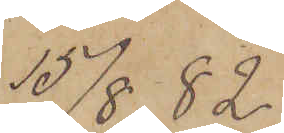15/8.  82.
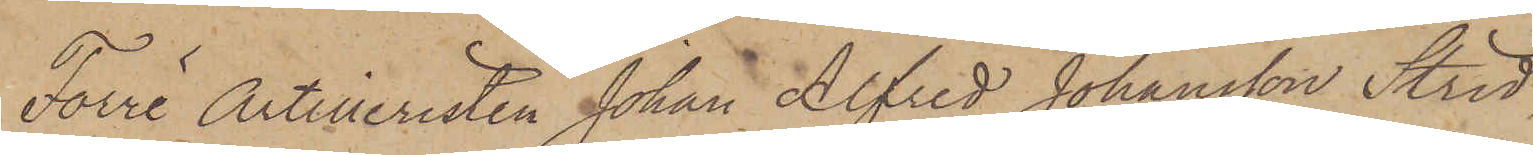Förre Artilleristen Johan Alfred Johansson Strid,
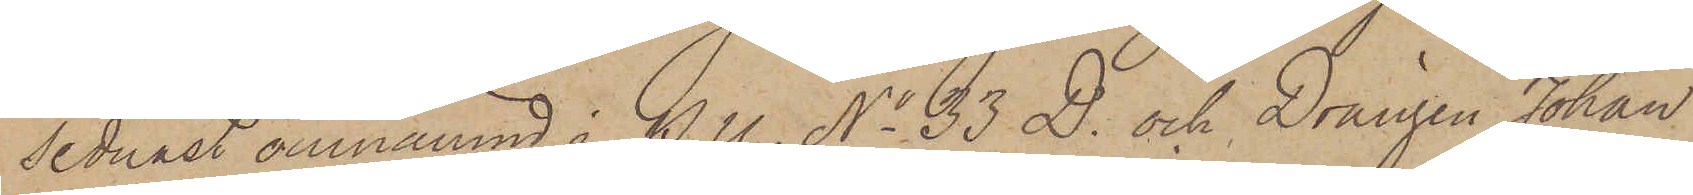sednast omnämnd i P.U. No 33 D. och Drängen Johan
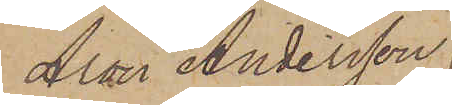Aron Andersson
